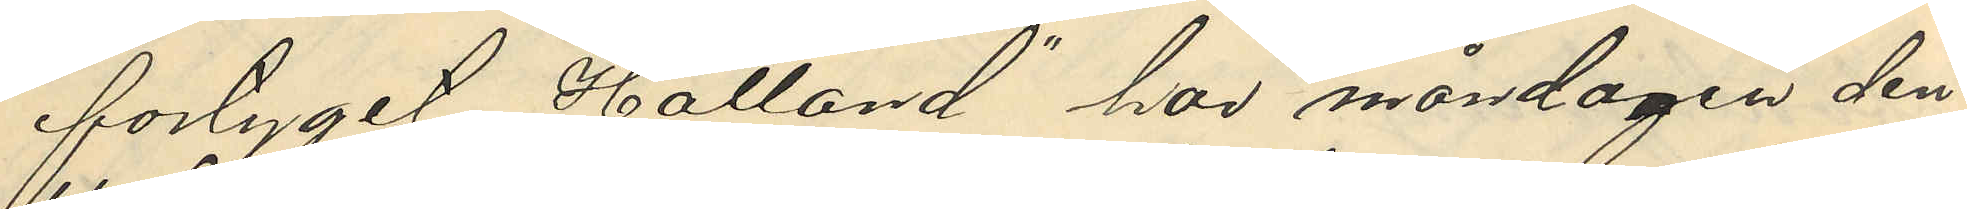fartyget, "Halland" hos måndagen den
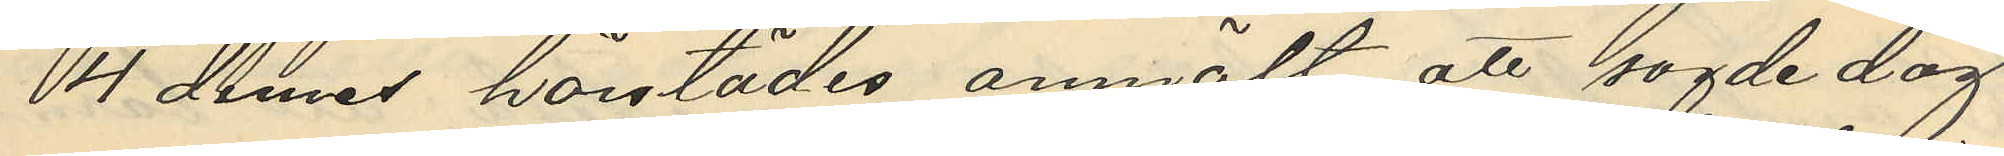4 dennes härstädes anmält att sagde dag
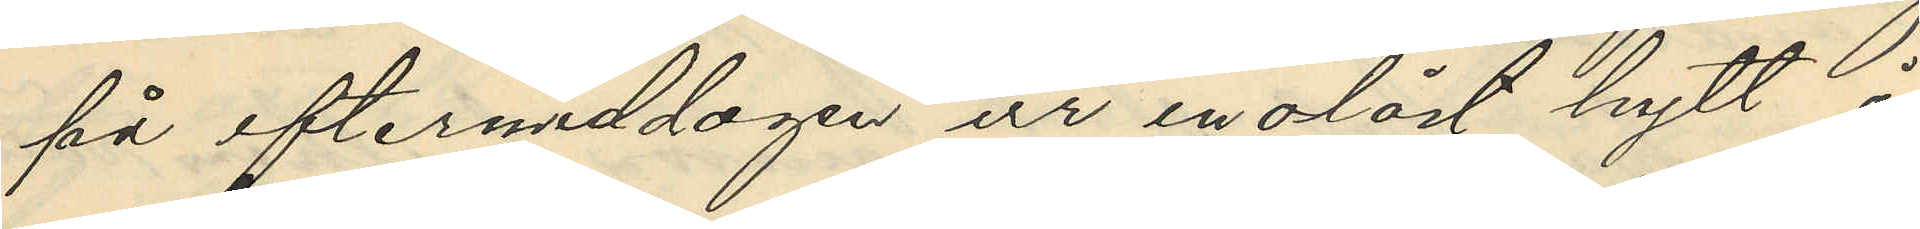på eftermiddagen ur en olåst hytt å
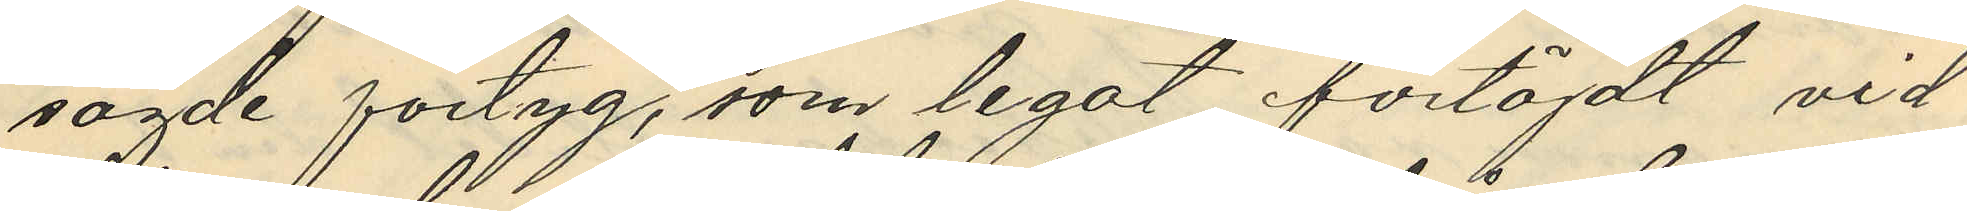sagde fartyg, som legat förtöjdt vid
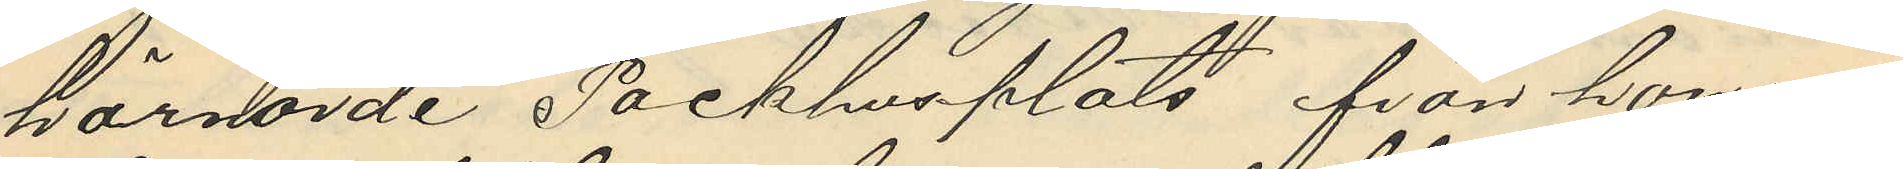härvorde Packhusplats, från honom
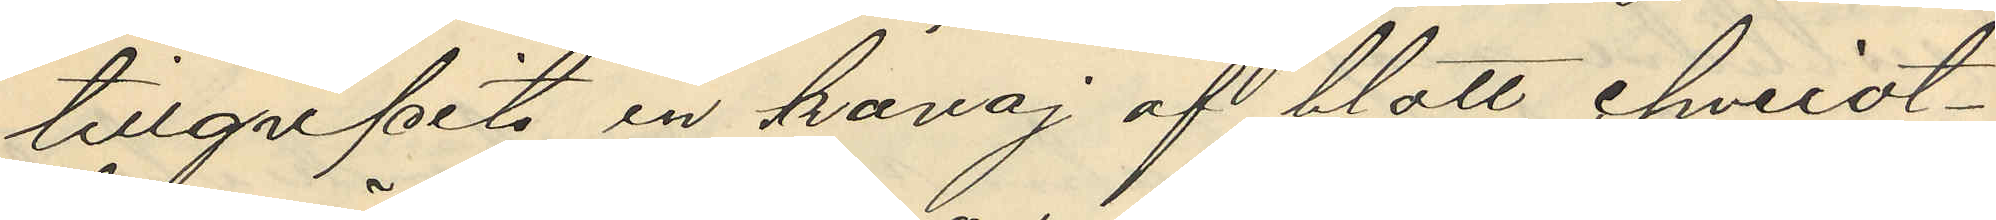tillgripits en kavaj af blått cheviot¬
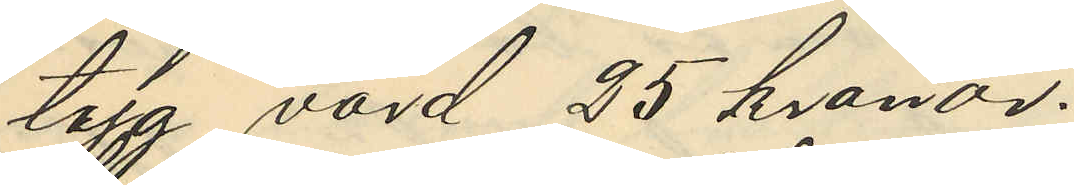tyg värd 25 kronor.
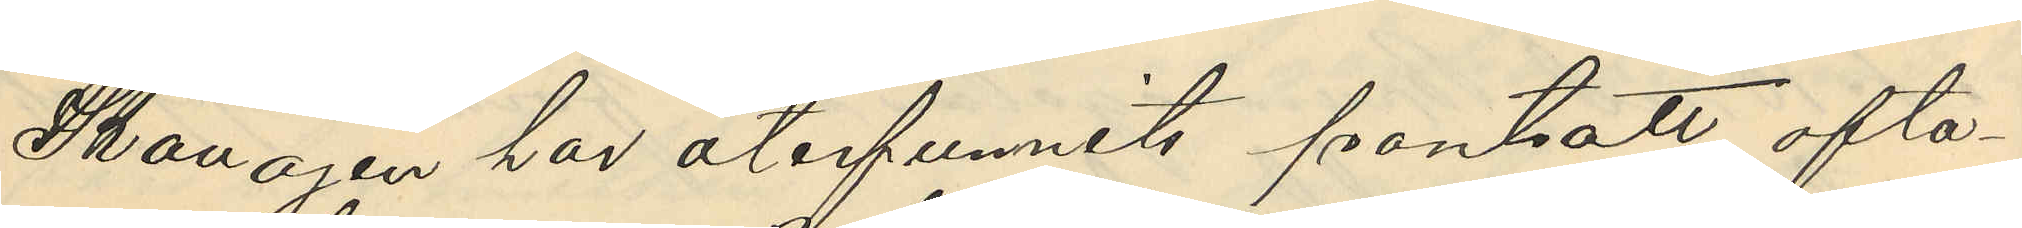Kavajen har återfunnits pantsatt ofta¬
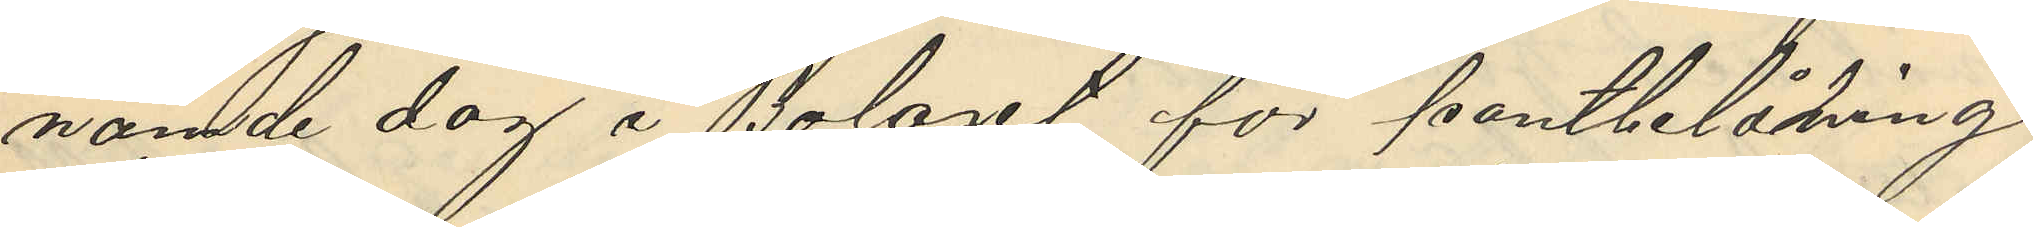nämde dag i Bolaget för pantbelåning
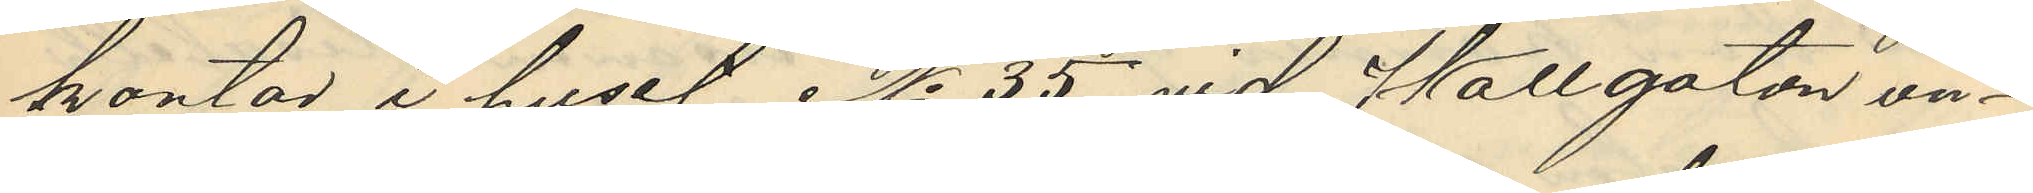kontor i huset No 35 vid Wallgatan un¬
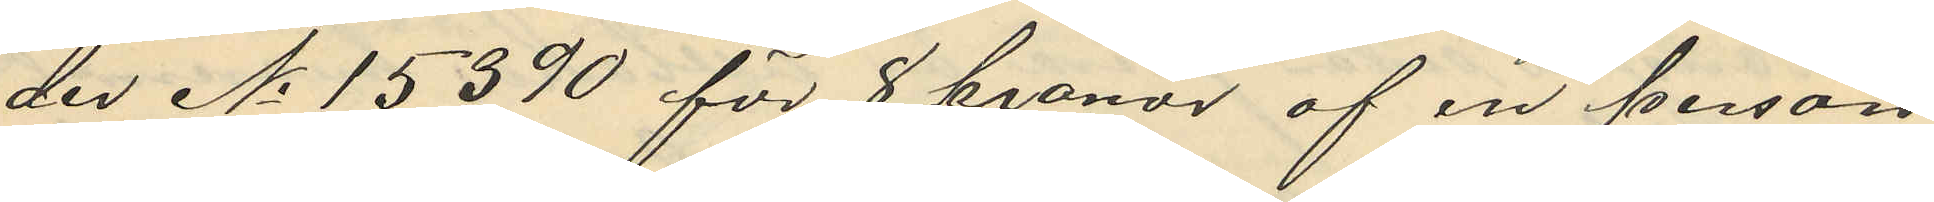der No 15390 för 8 kronor af en person
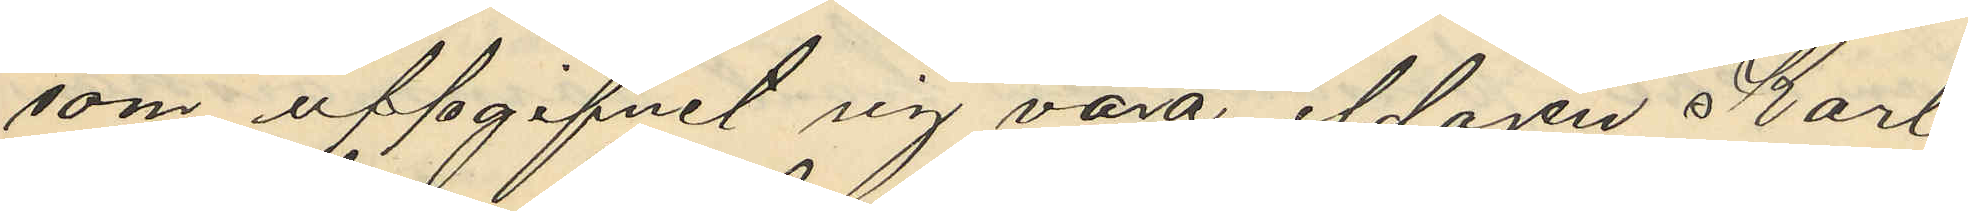som uppgifvit sig vara eldaren Karl
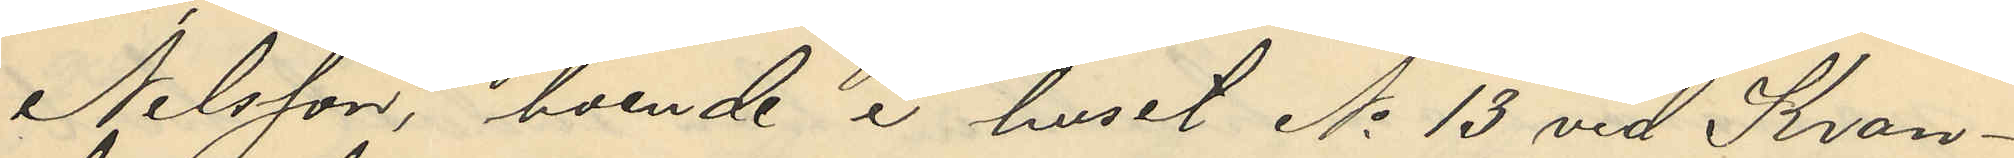Nilsson, boende i huset No 13 vid Kron¬
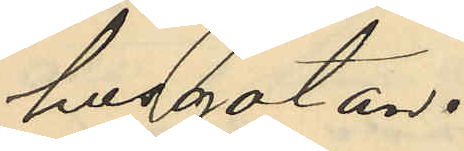husgatan.
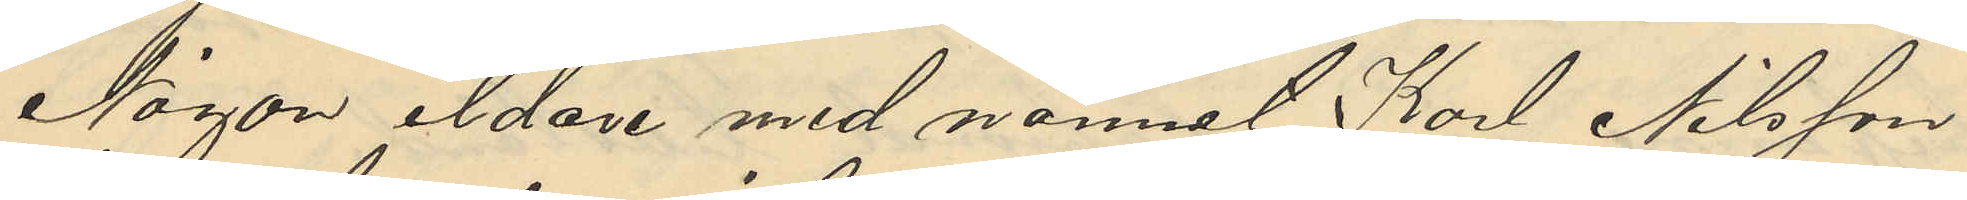Någon eldare med namnat Karl Nilsson
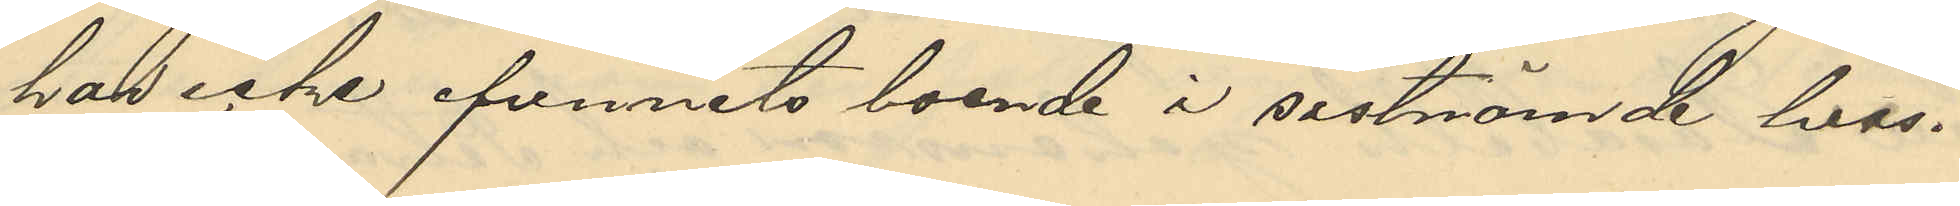har icke befunnits boende i sistnämde hus.
